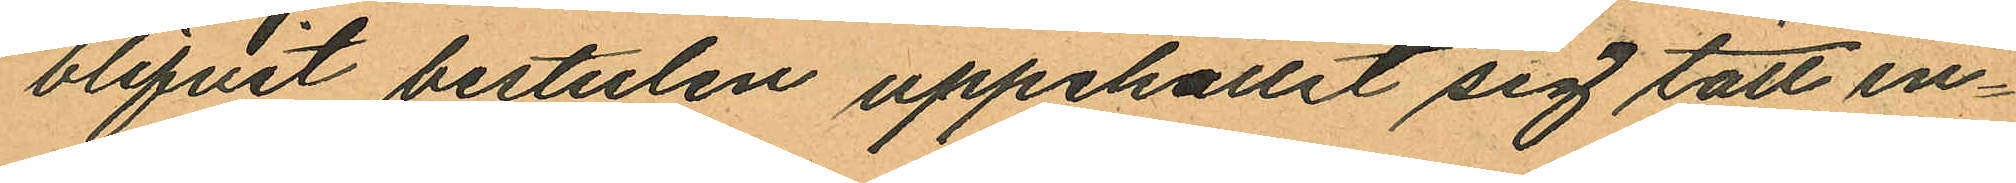blifvit bestulen uppehållit sig tätt in¬
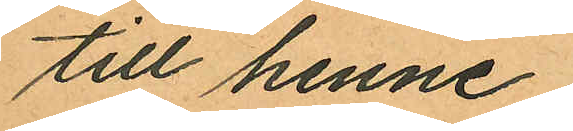till henne.
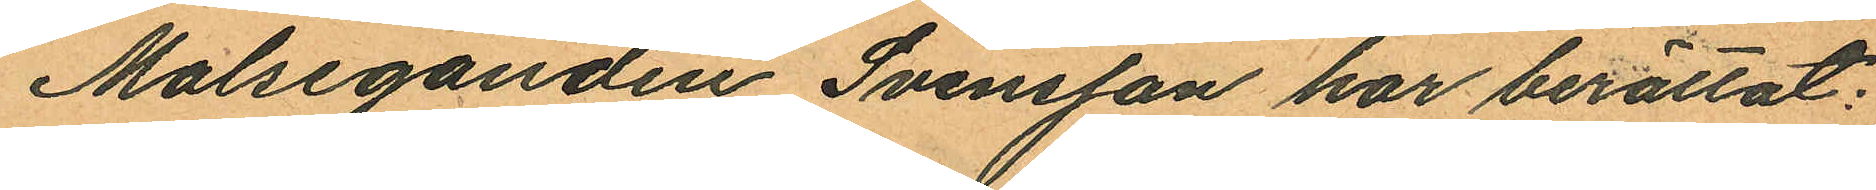Malseganden Svensson har berättat:
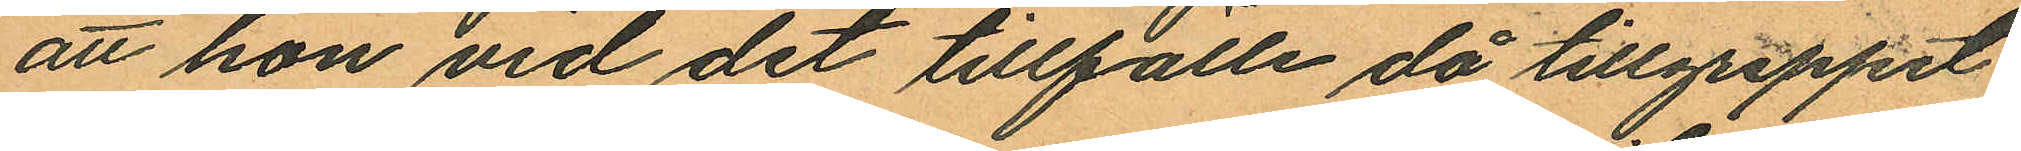att hon vid det tillfälle då tillgreppet
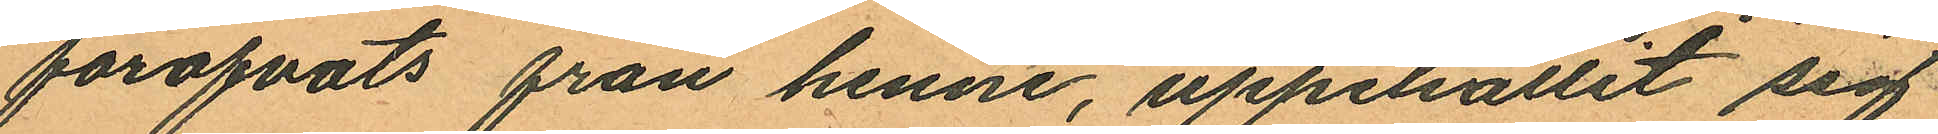föröfvats från henne, uppehållit sig
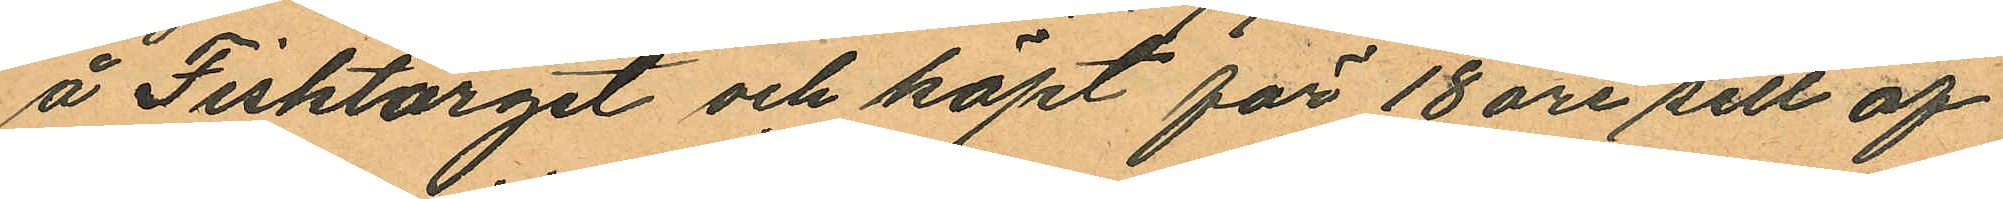å Fisktorget och köpt för 18 öre sill af
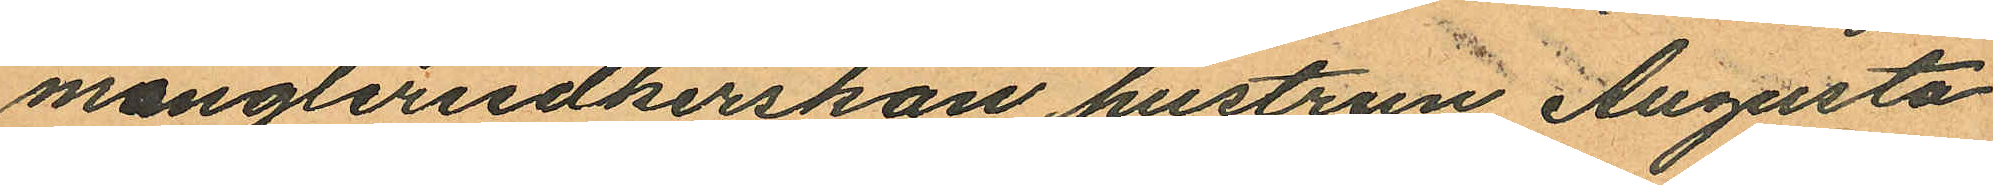mångleriidkerskan hustrun Augusta
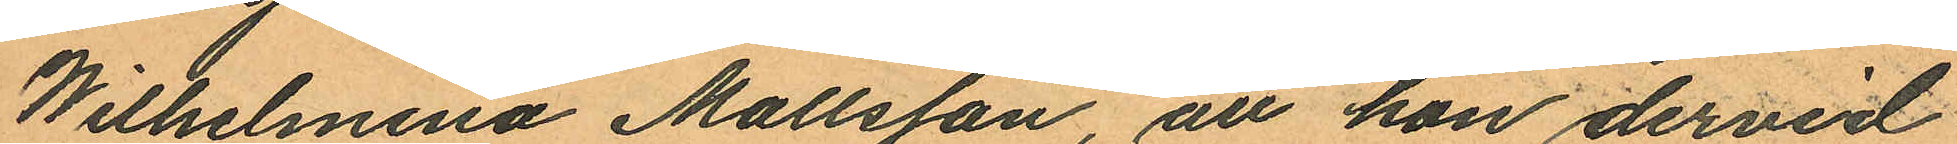Wilhelmina Mallsson, att hon dervid
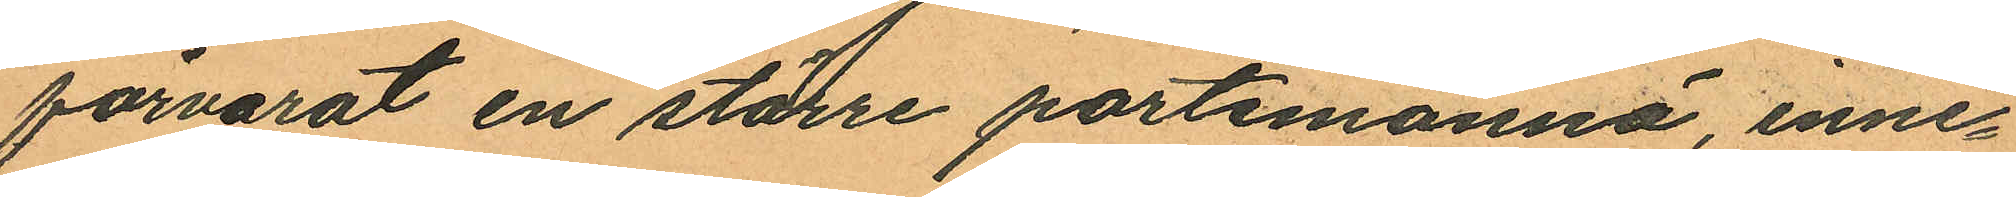förvarat en större portemonnä, inne¬
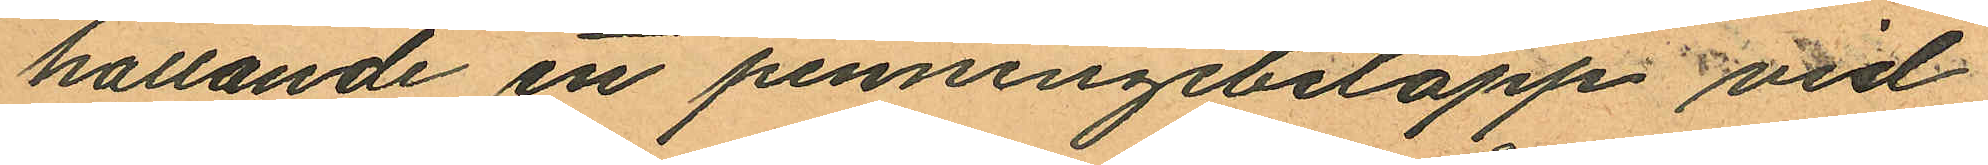hallande ett penningebelopp vid
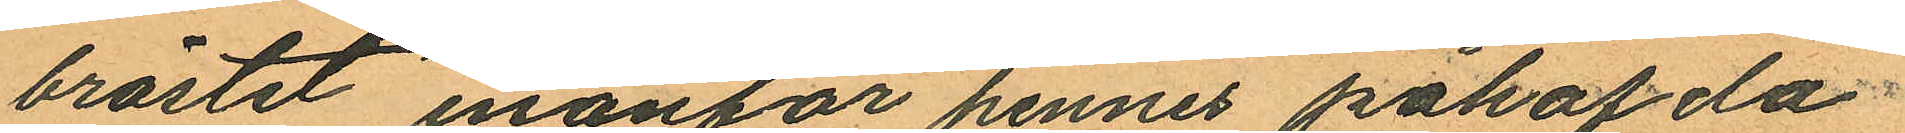bröstet inanför hennes påhafda
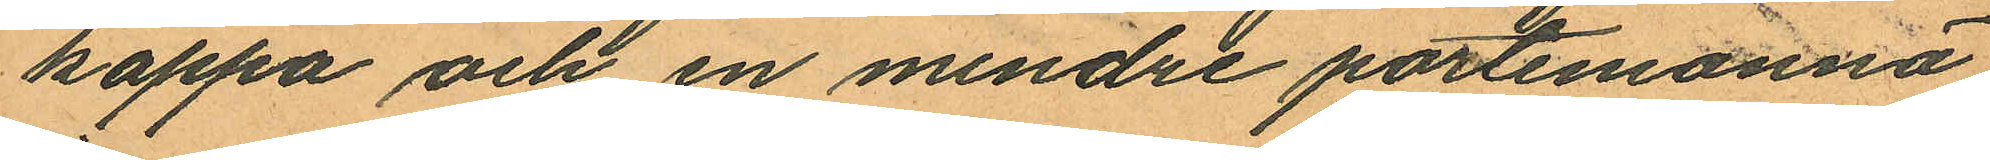kappa och en mindre portemonnä
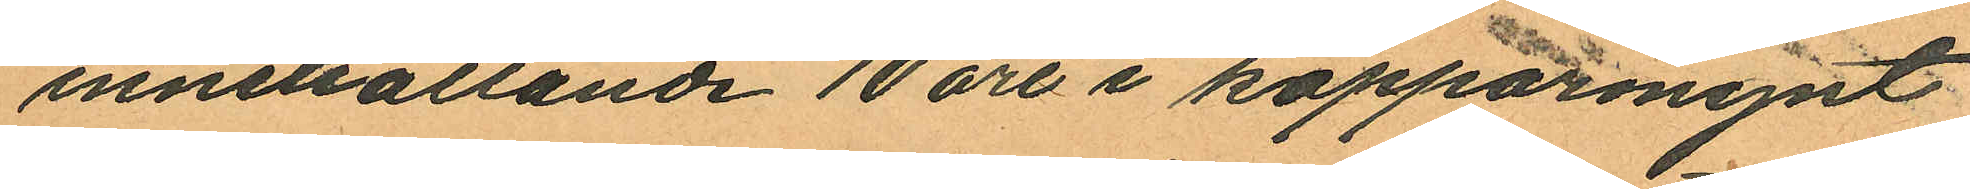innehållande 10 öre i kopparmynt
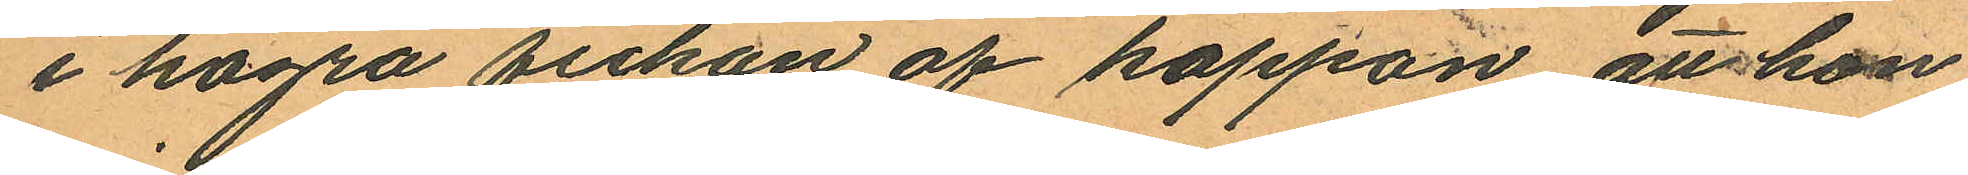i högra fickan af kappan att hon
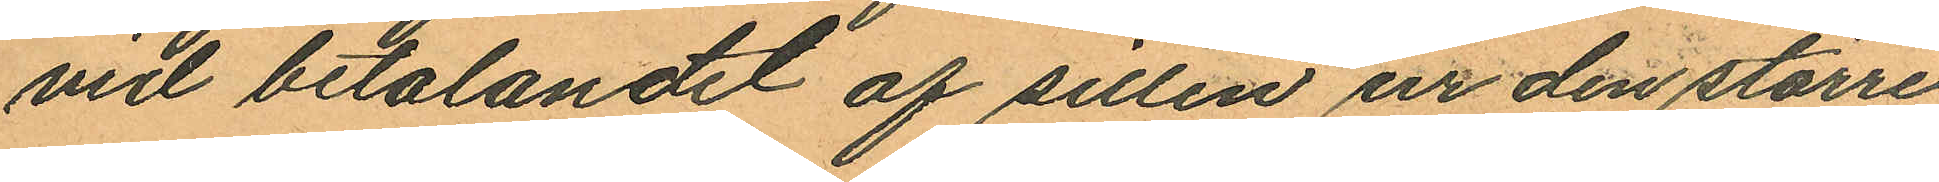vid betalandet af sillen ur den större
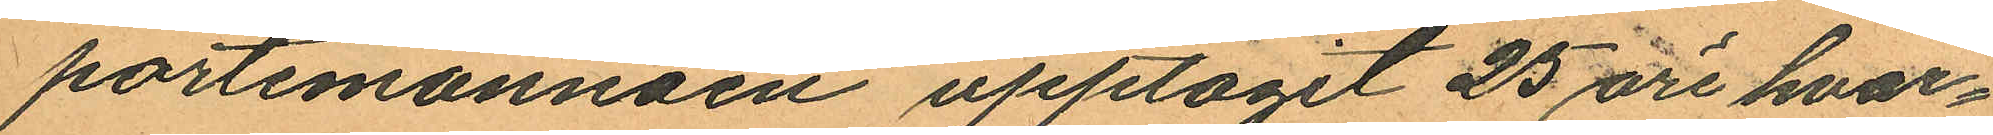portemonnäen upptagit 25 öre hvar¬
